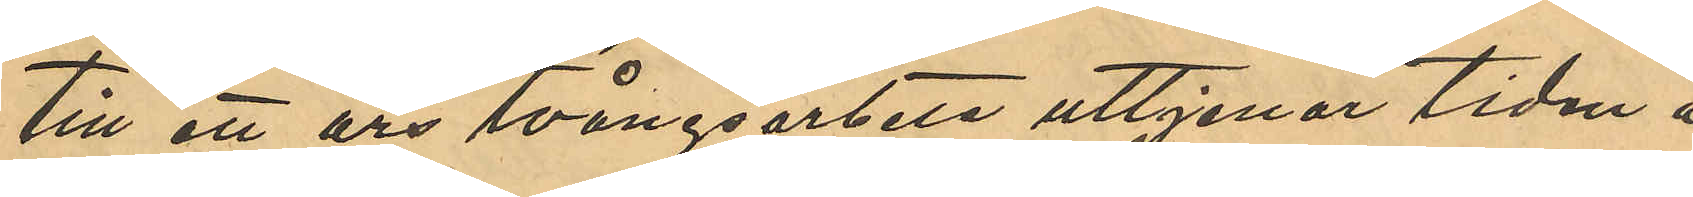till ett års tvångsarbete uttjenar tiden å
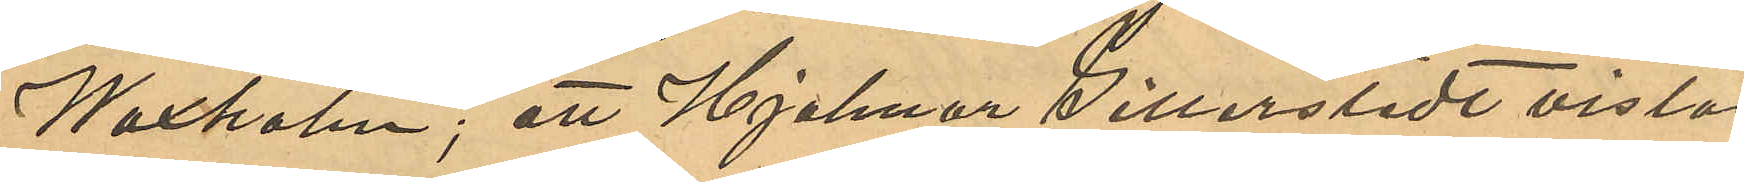Waxholm; att Hjalmar Gillerstedt vistas
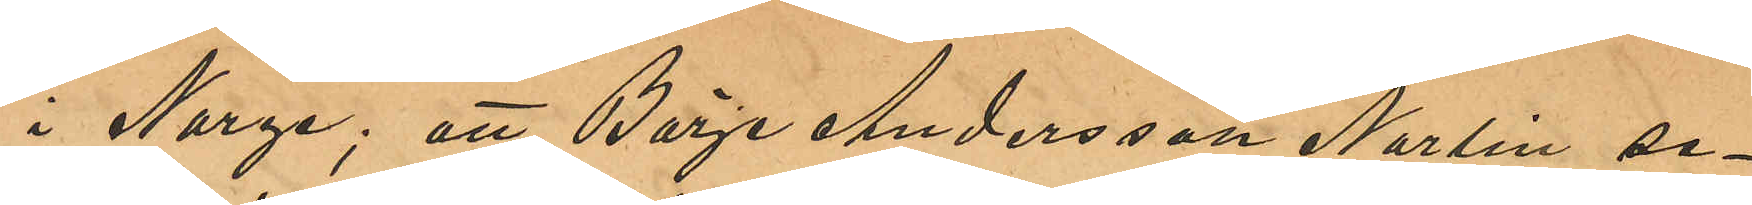i Norge; att Börje Andersson Norlin se¬
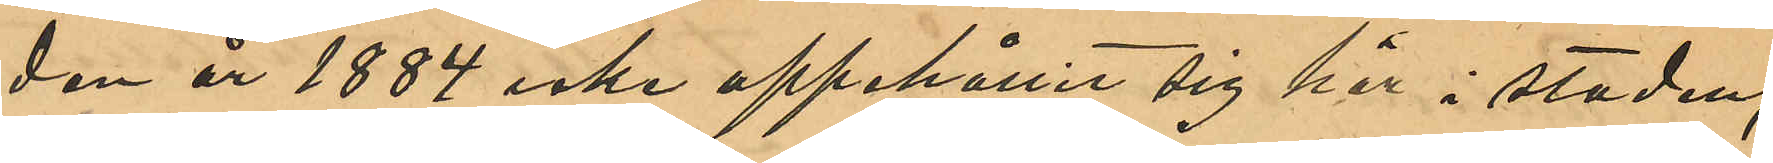dan år 1884 icke uppehåller sig här i staden;
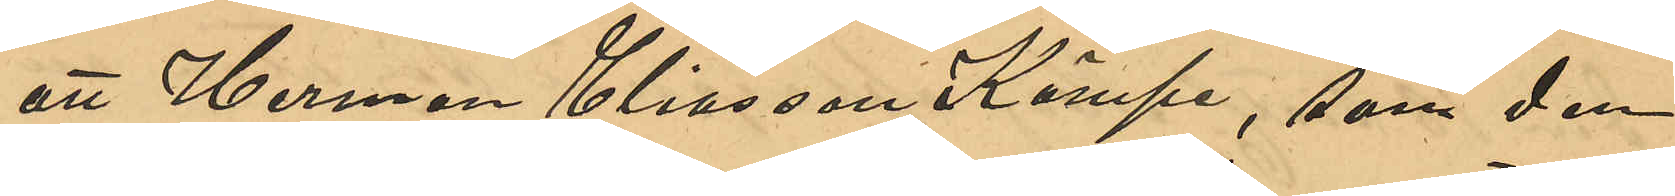att Herman Eliasson Kämpe, som den
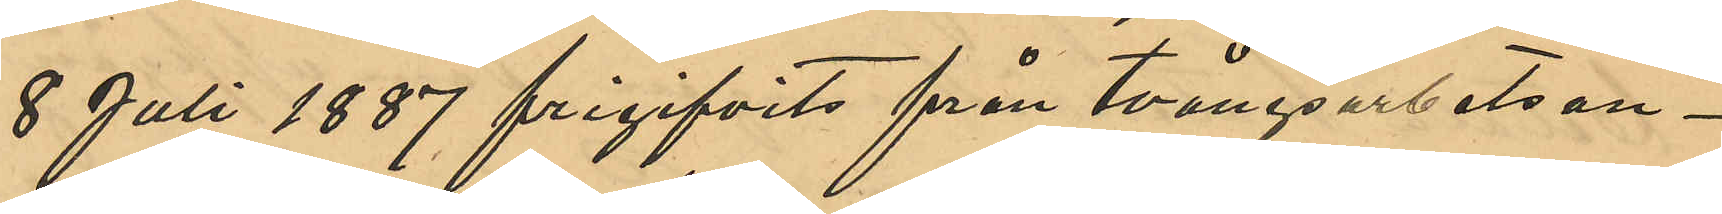8 Juli 1887 frigifvits från tvångsarbetsan¬
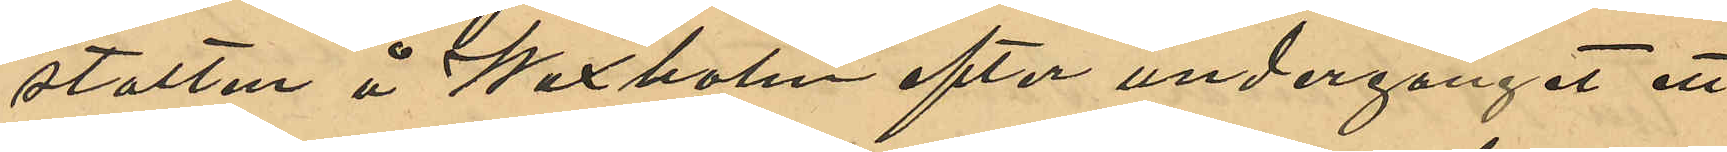stalten å Waxholm efter undergånget ett
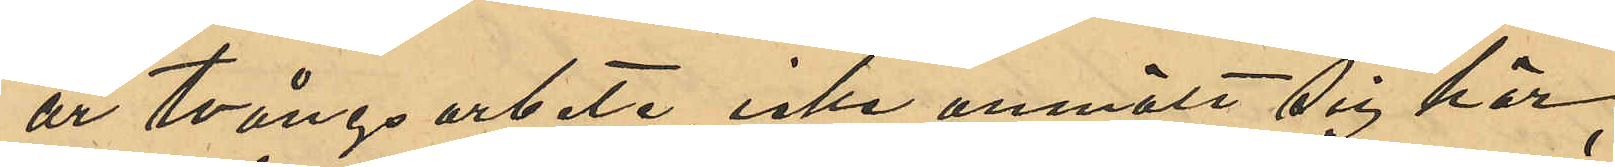år tvångsarbete, icke anmält sig här;
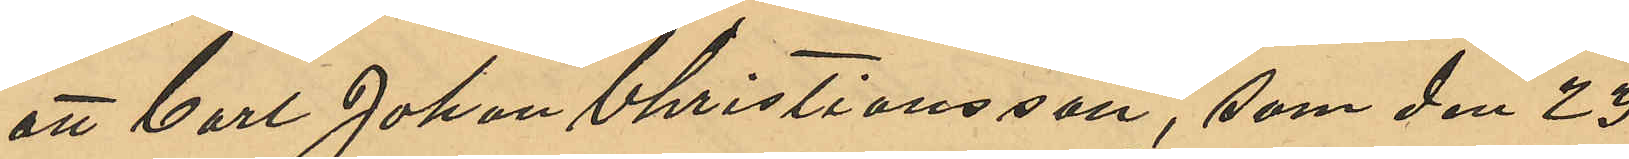att Carl Johan Christiansson, som den 23
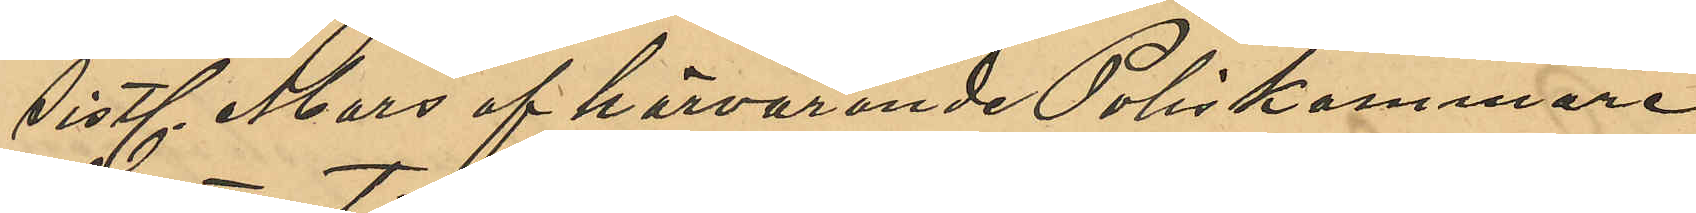sistl Mars af härvarande Poliskammare
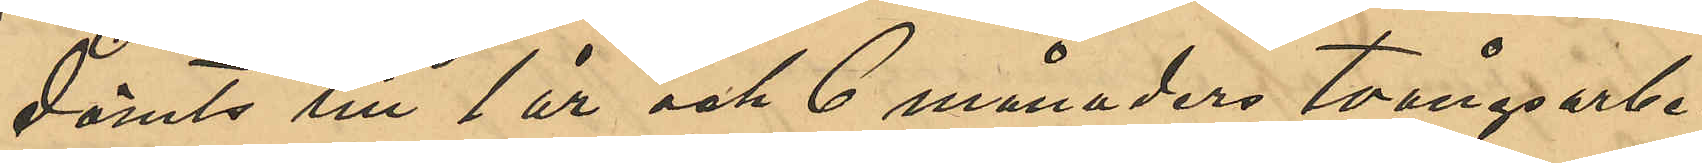dömts till 1 år 6 månaders tvångsarbe¬
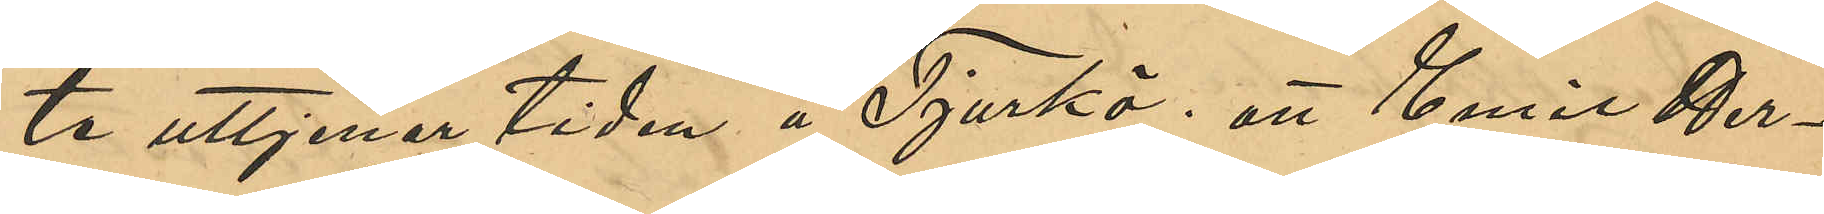te uttjenar tiden å Tjurkö; att Emil Her¬
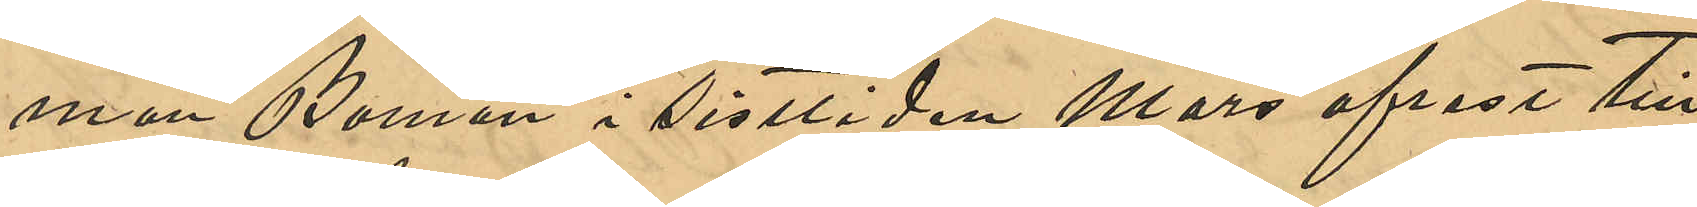man Boman i sistliden Mars afrest till
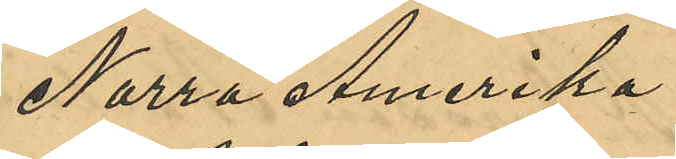Norra Amerika.
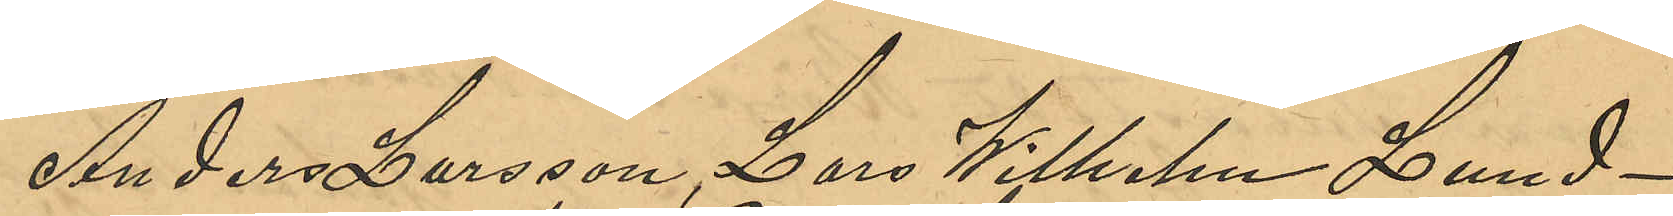Anders Larsson, Lars Wilhelm Lund¬
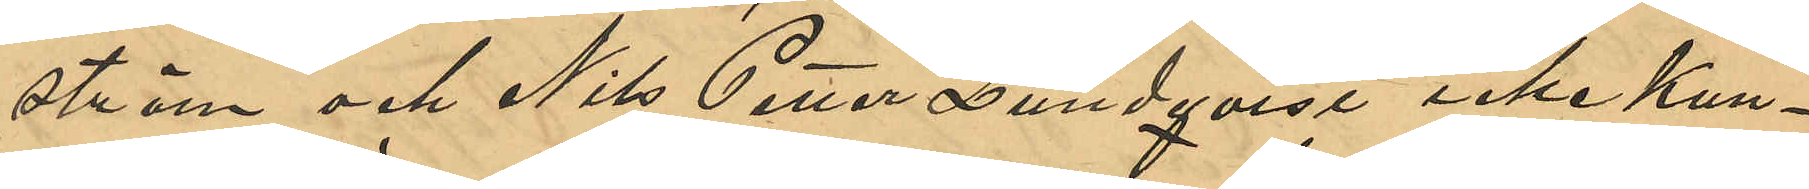ström och Nils Petter Lundqvist, icke kun¬
